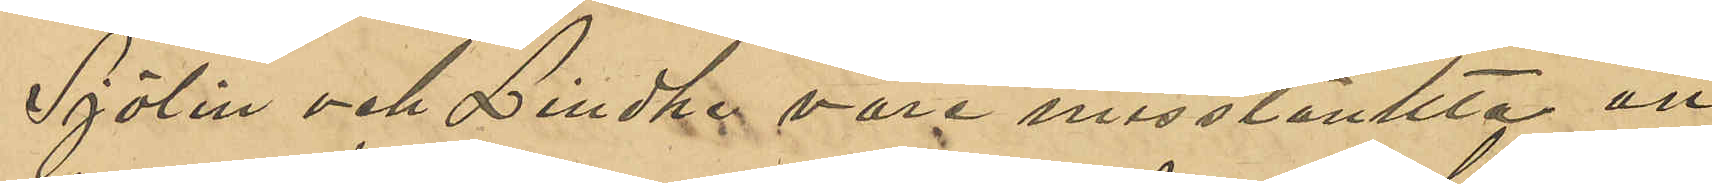Sjölin och Lindhe vore misstänkta att
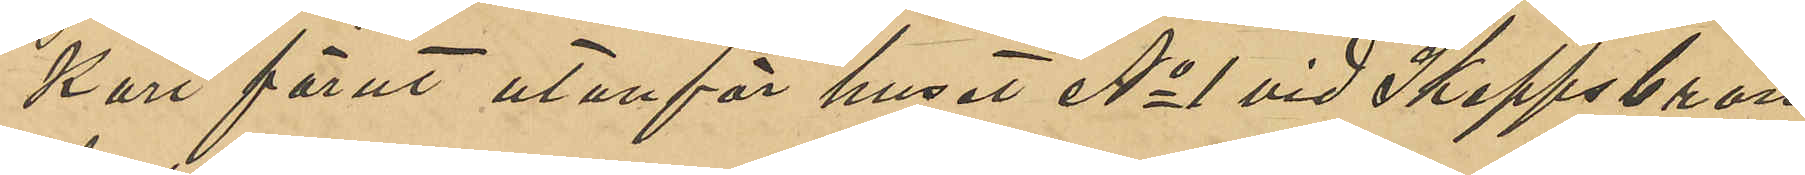kort förut utanför huset No 1 vid Skeppsbron
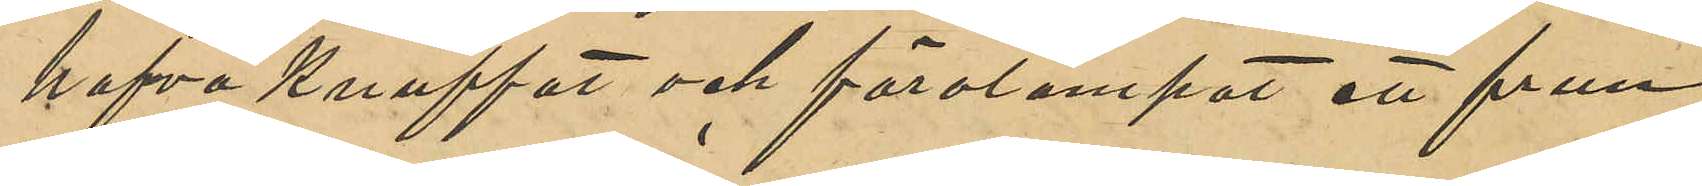hafva knuffat och förolämpat ett frun¬
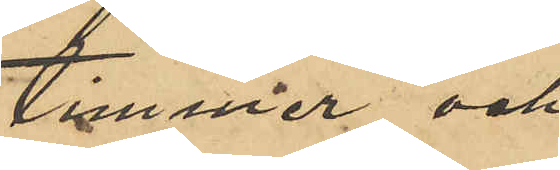timmer och
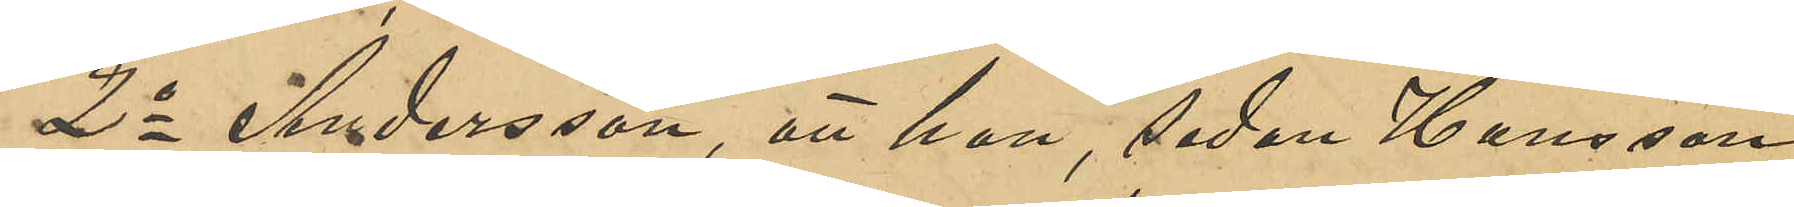2o Andersson, att han, sedan Hansson
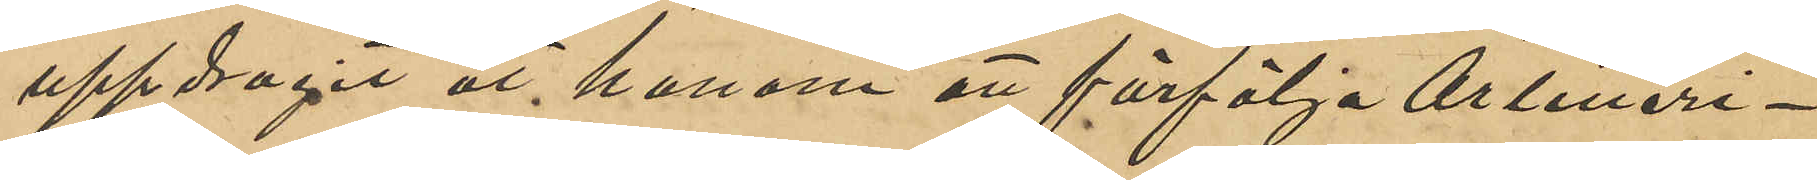uppdragit åt honom att förfölja Artilleri¬
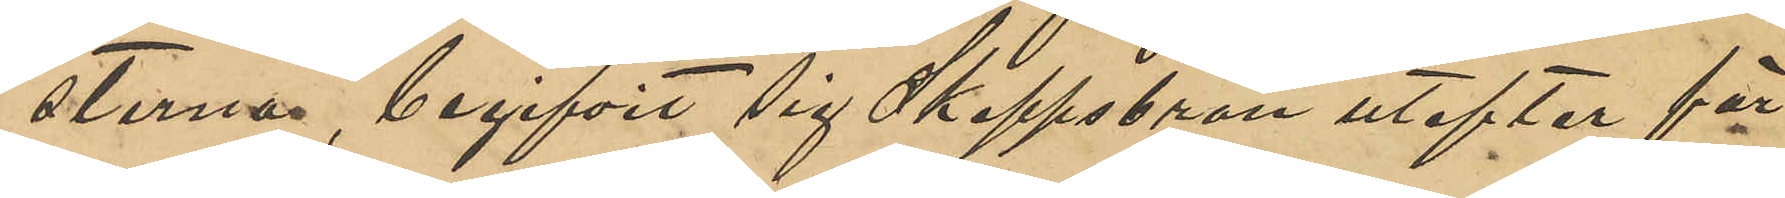sterna, begifvit sig Skeppsbron utefter för
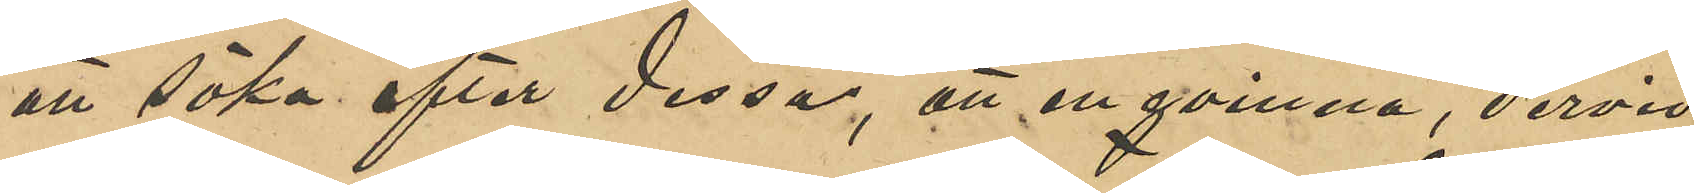att söka efter dessa, att en qvinna, dervid
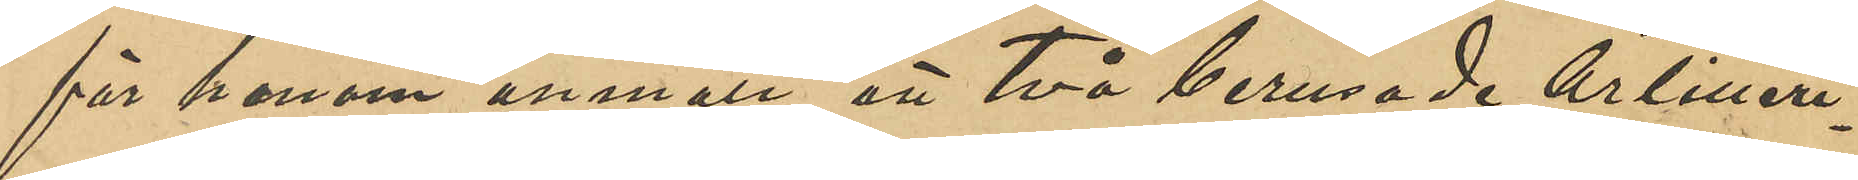för honom anmält att två berusade Artilleri¬
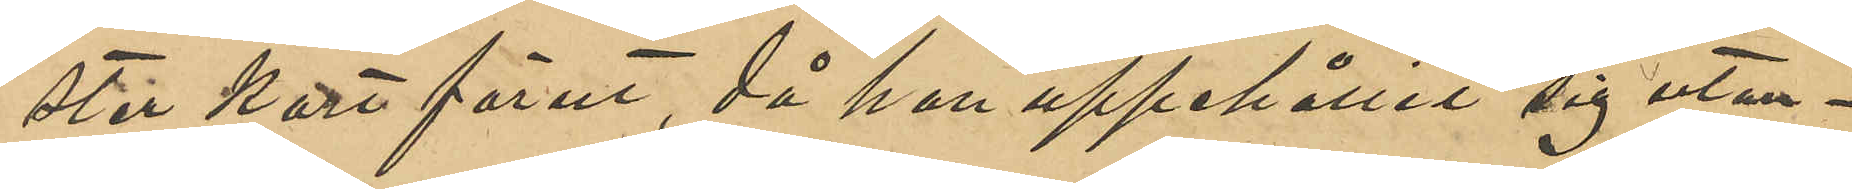ster kort förut, då hon uppehållit sig utan¬
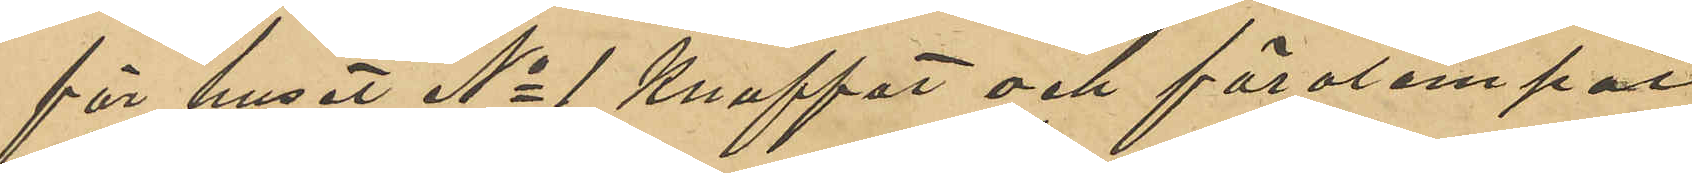för huset No 1 knuffat och förolämpat
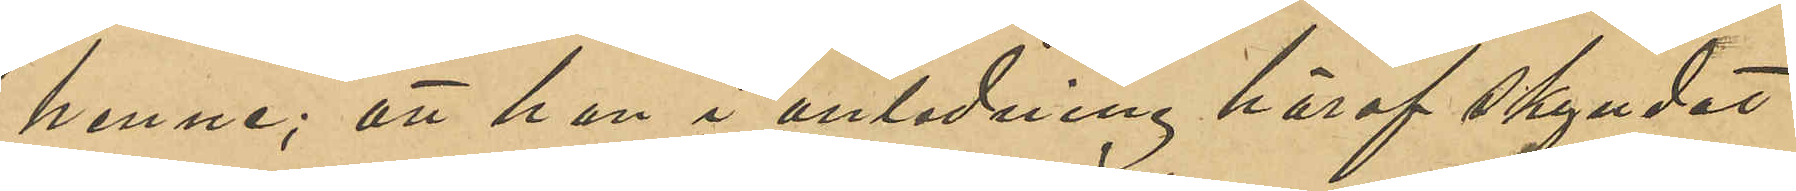henne; att han i anledning häraf skyndat
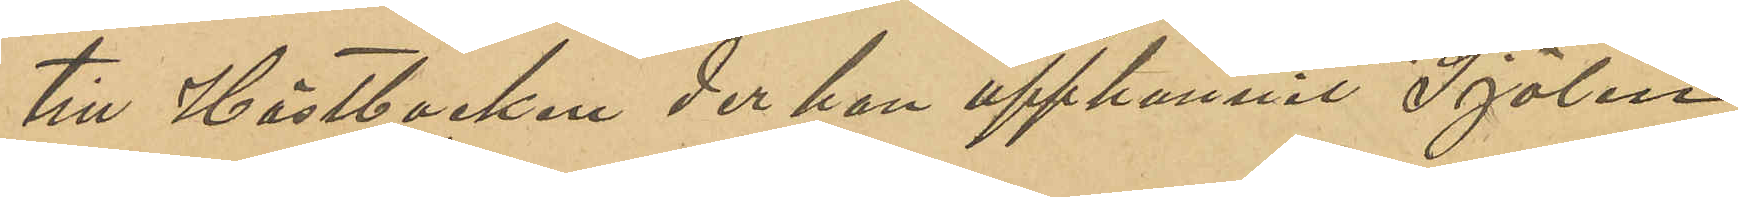till Hästbacken der han upphunnit Sjölin
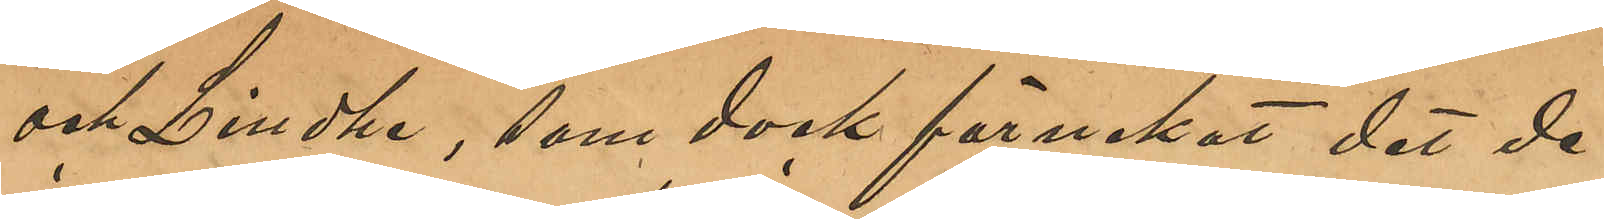och Lindhe, som dock förnekat det de
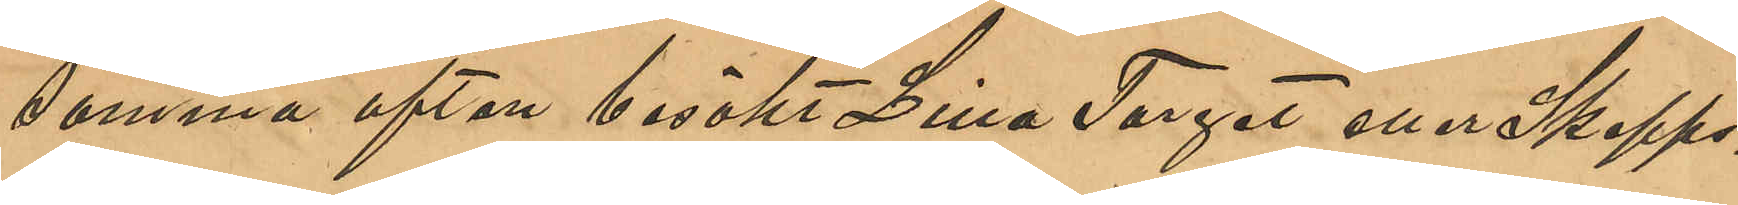samma afton besökt Lilla Torget eller Skepps¬
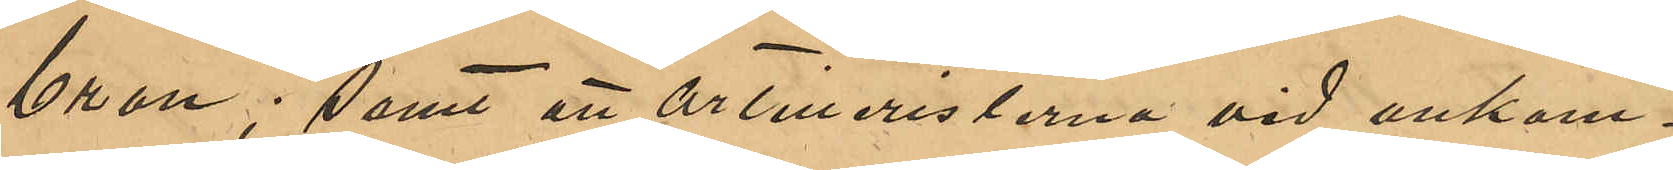bron; samt att Artilleristerna vid ankom¬
